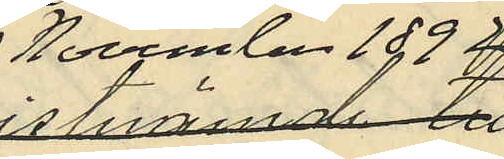November 1892
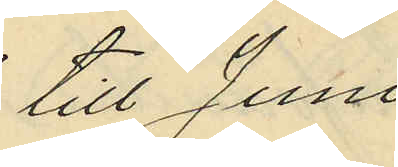till Juni
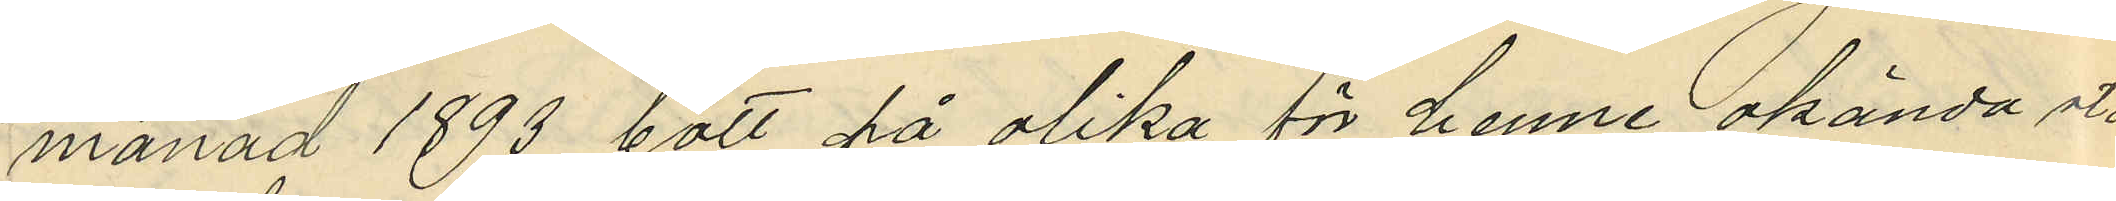månad 1893 bott på olika för henne okända stäl¬
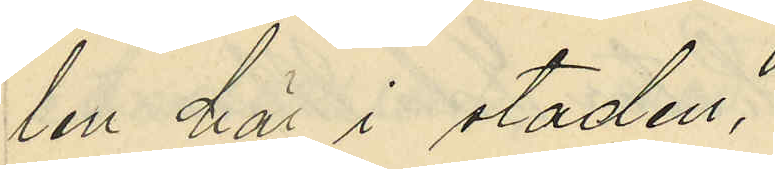len här i staden,
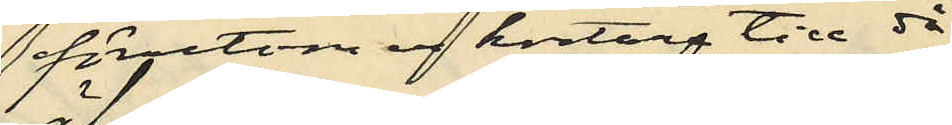förutom en kortare tid då
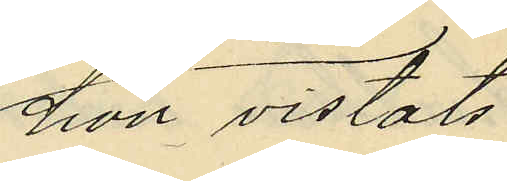hon vistats
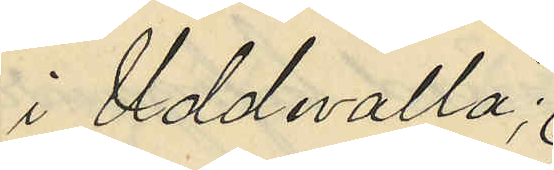i Uddevalla
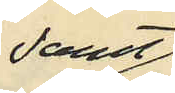samt
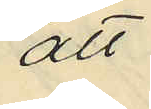att
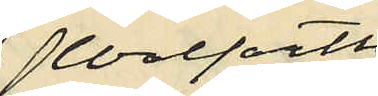Wolfarth
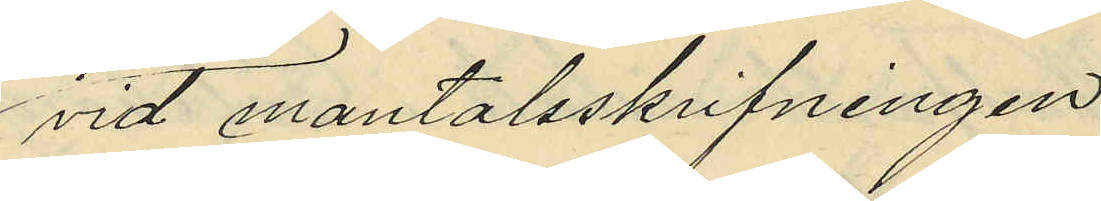vid mantalsskrifvningen
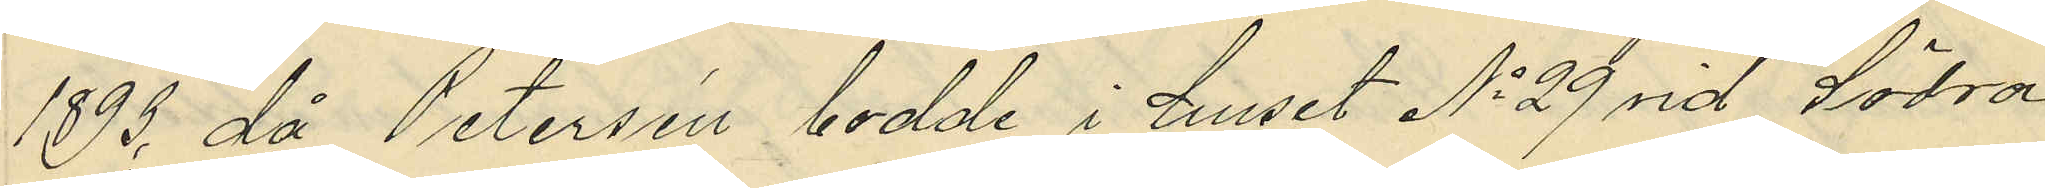1893, då Petersson bodde i huset No 29 vid Södra
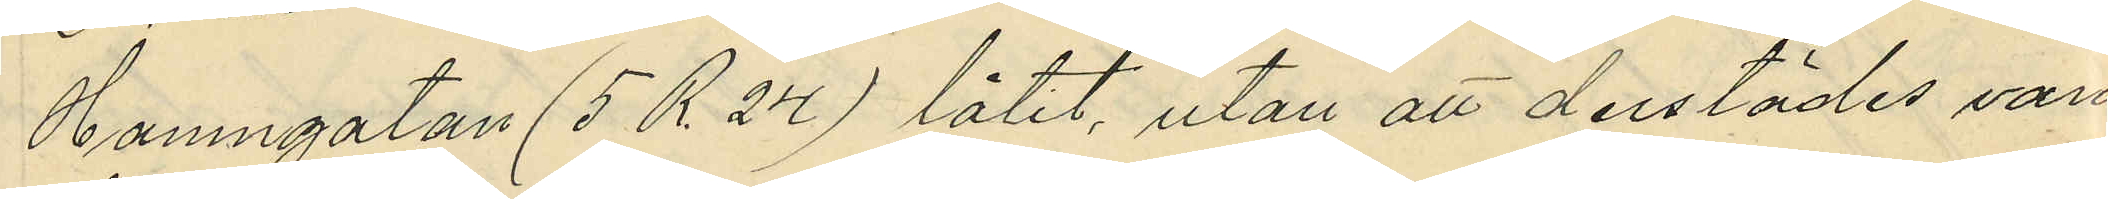Hamngatan (5 R. 24) låtit, utan att derstädes vara
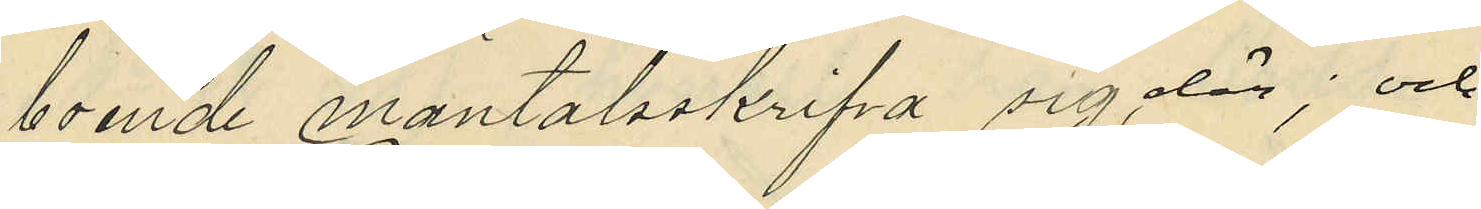boende mantalsskrifva sig där; och
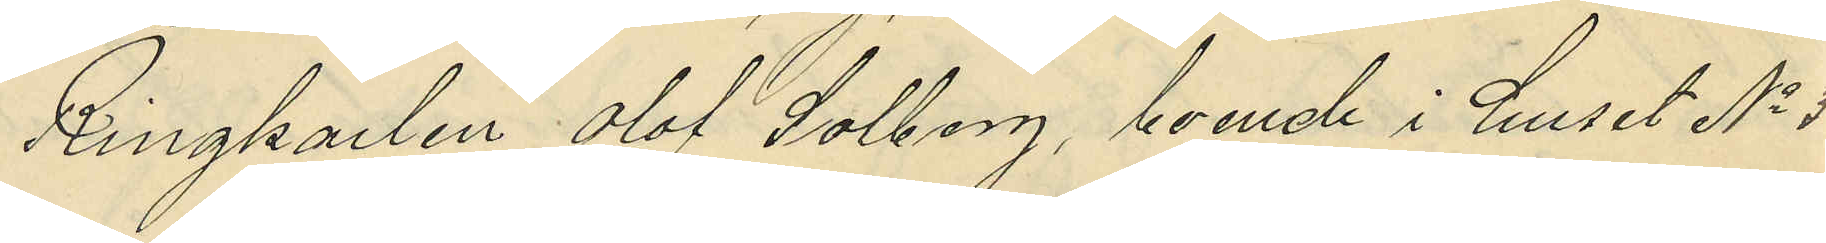Ringkarlen Olof Solberg, boende i huset No 30
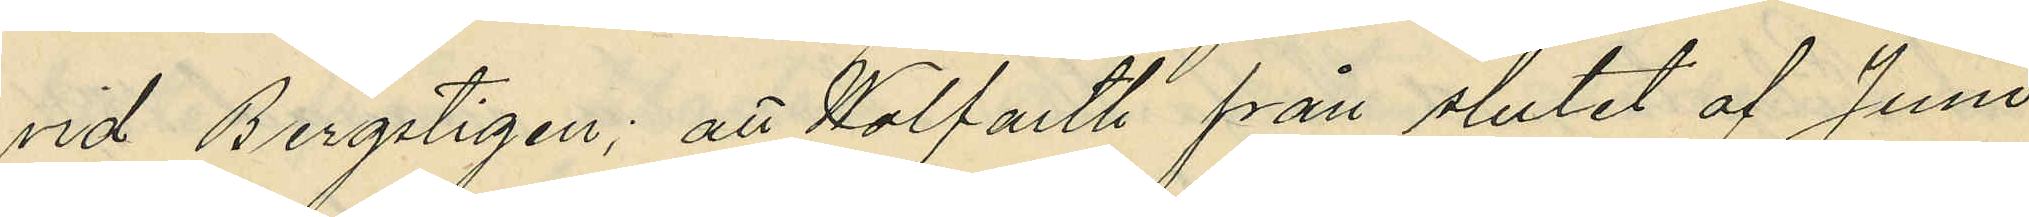vid Bergsstigen; att Wolfarth från slutet af Juni
